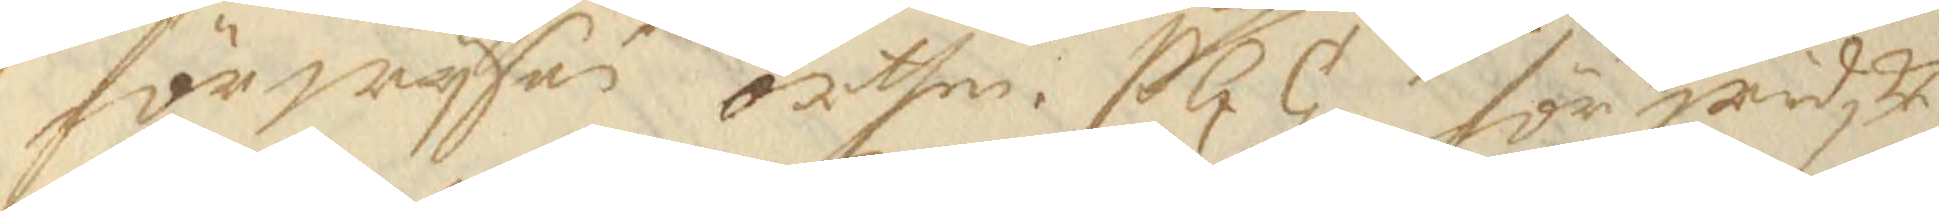förwysas orthen. S G G. för widske¬
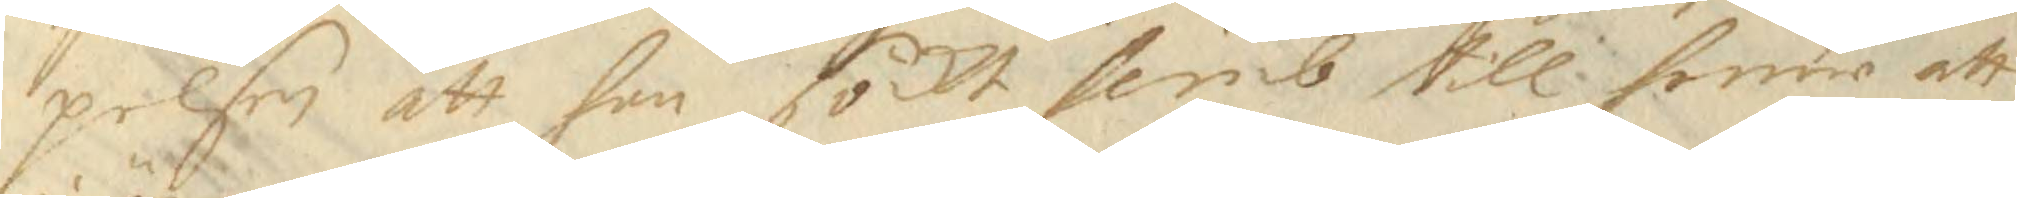pelsen att han sökt hemb till henne att
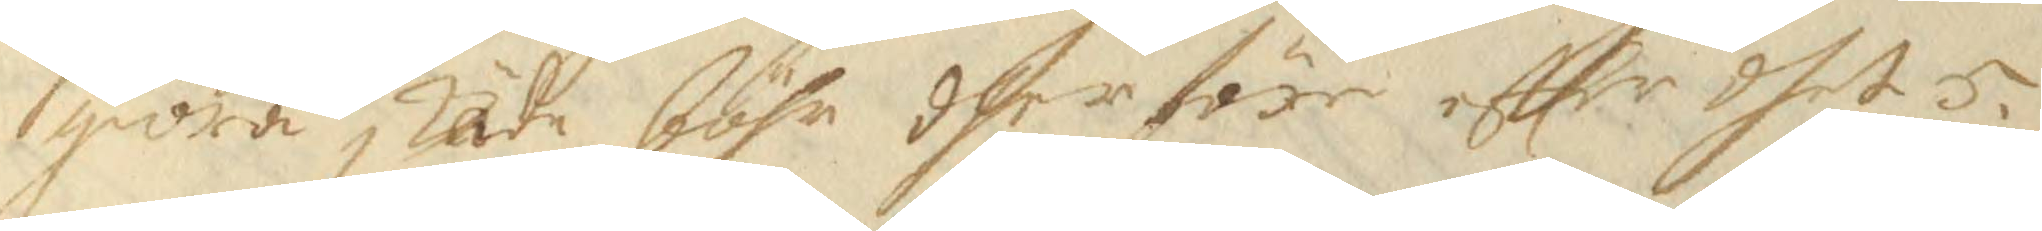giöra skade böhr dherföre effter dhet 5.
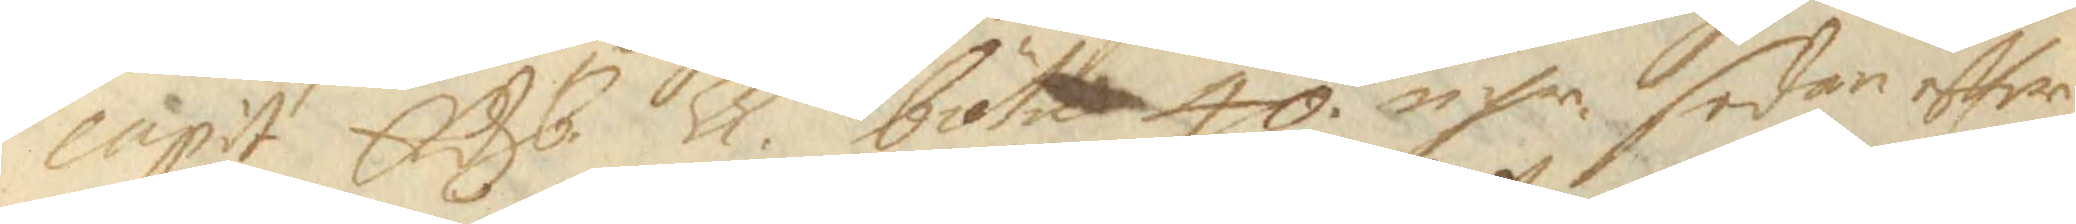capit Edhb. Ll böta 40 nsr sedan effter 
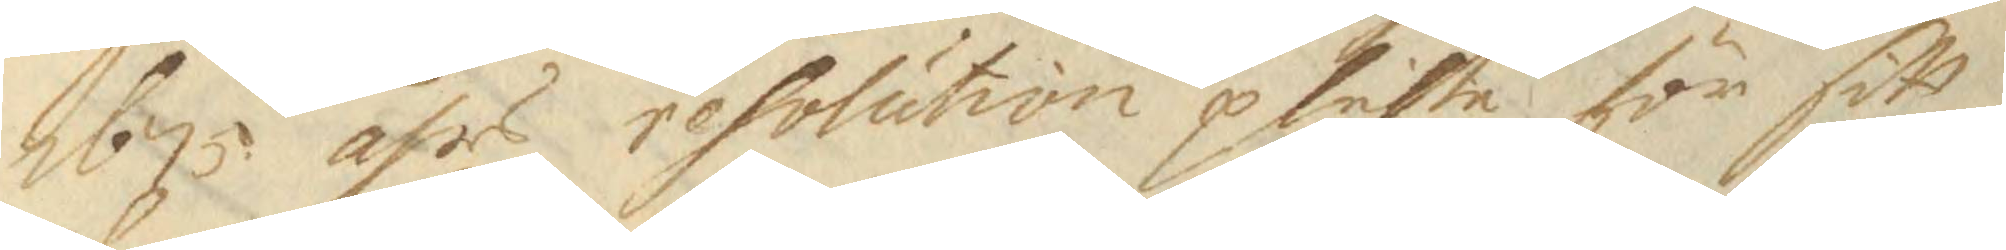1675 åhr resolution plichta för sitt
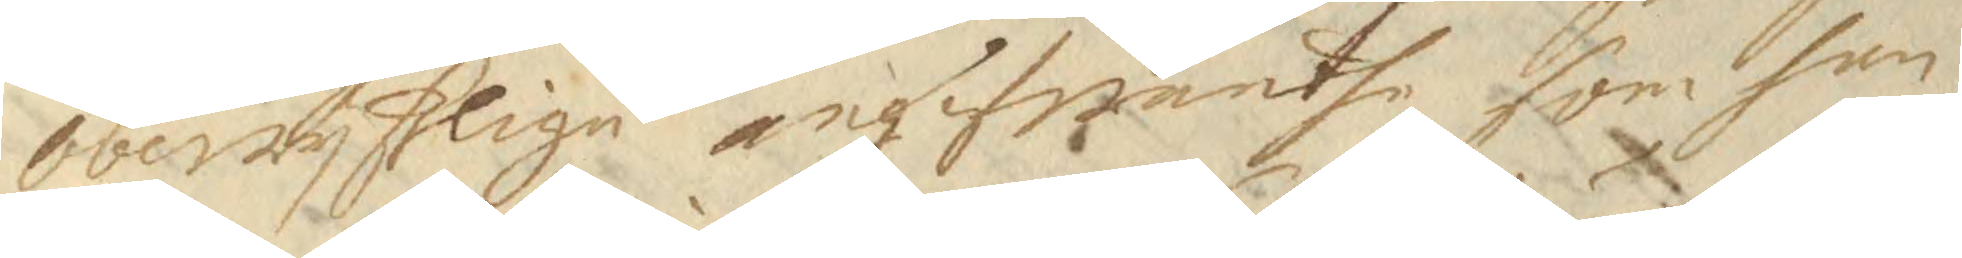obewyslige angifwandhe som han
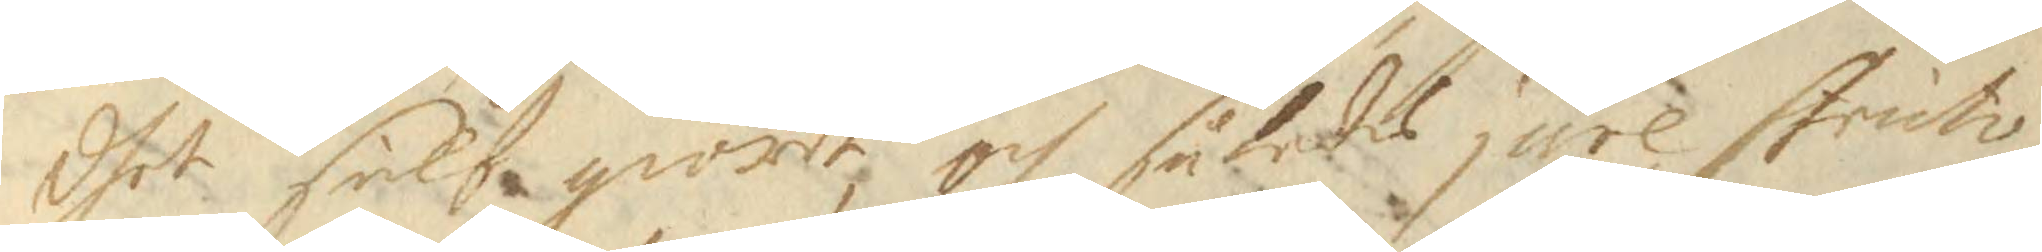dhet sielf giordt och således jure Struto
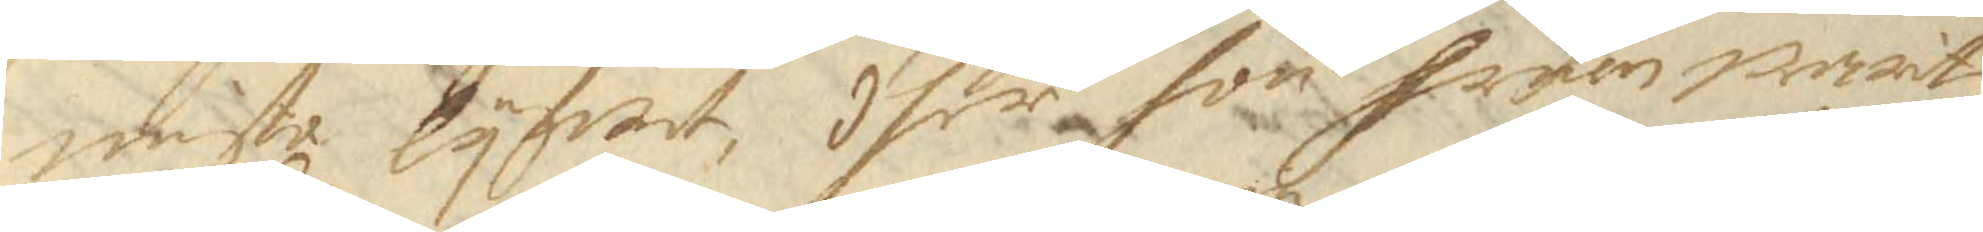miste lyfwet, dher hon fruen warit
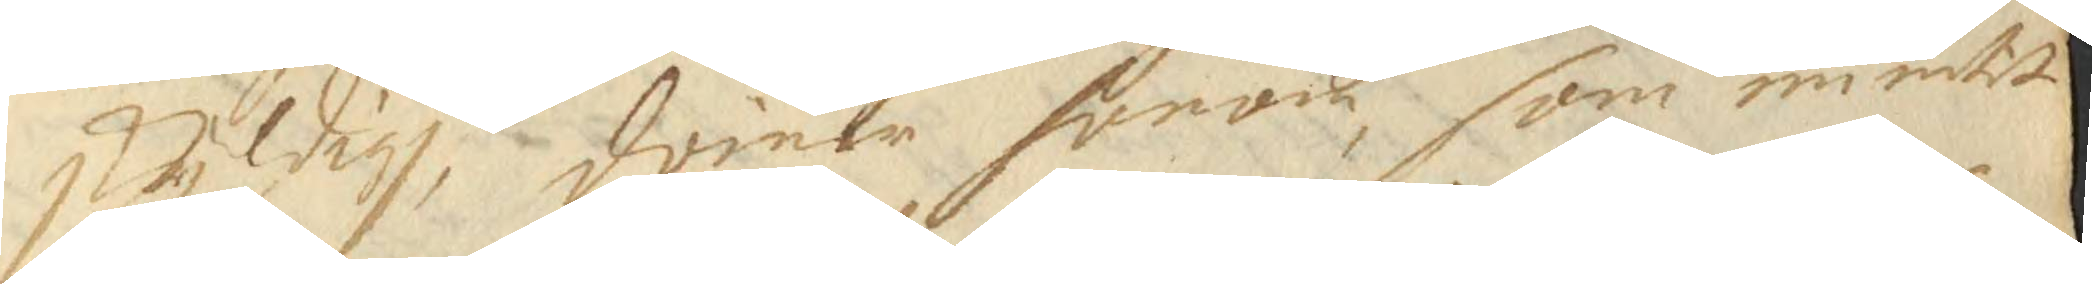skyldigh, domer honom som nu intet
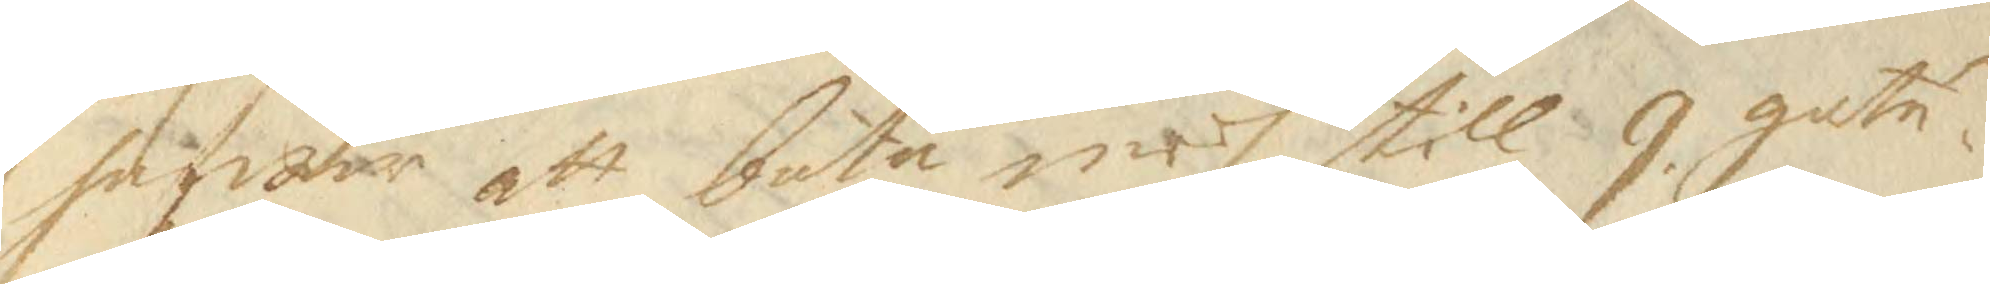hafwar att bota medh till 9 gatu¬
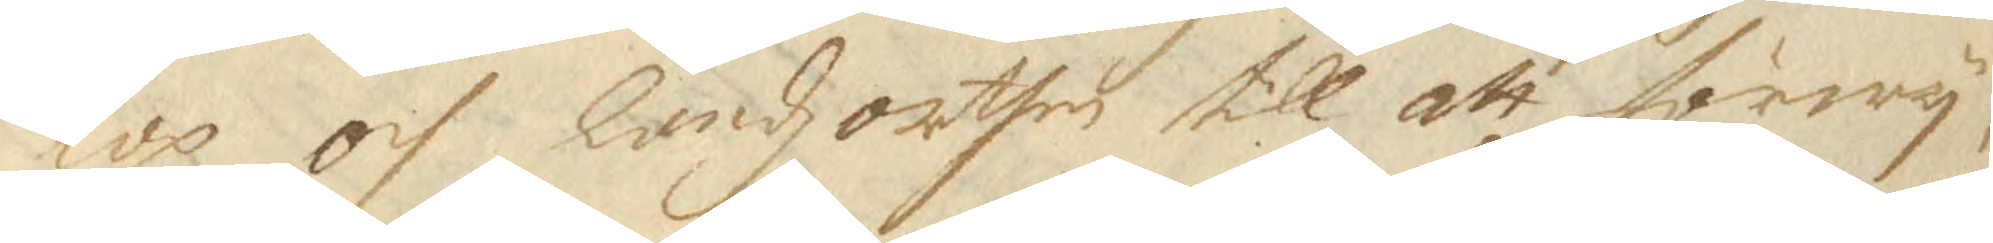lop och Landz orthen till att förwy¬
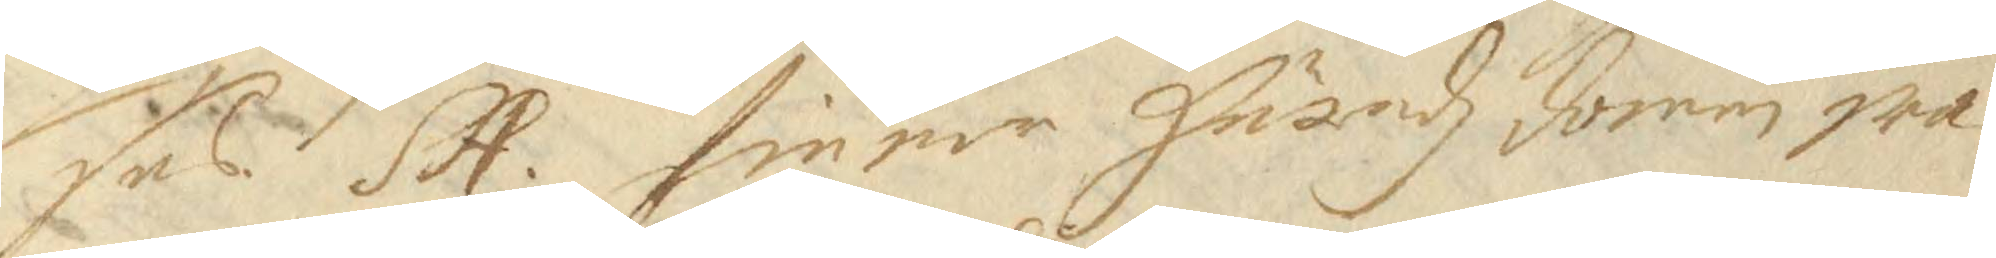ses. SA. finner Häradz domen wa¬ 
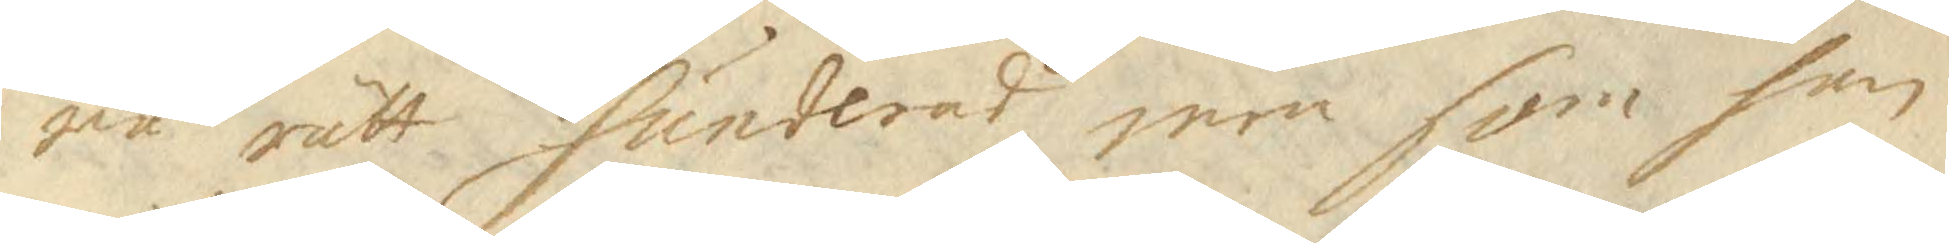ra rätt hunderad men som han
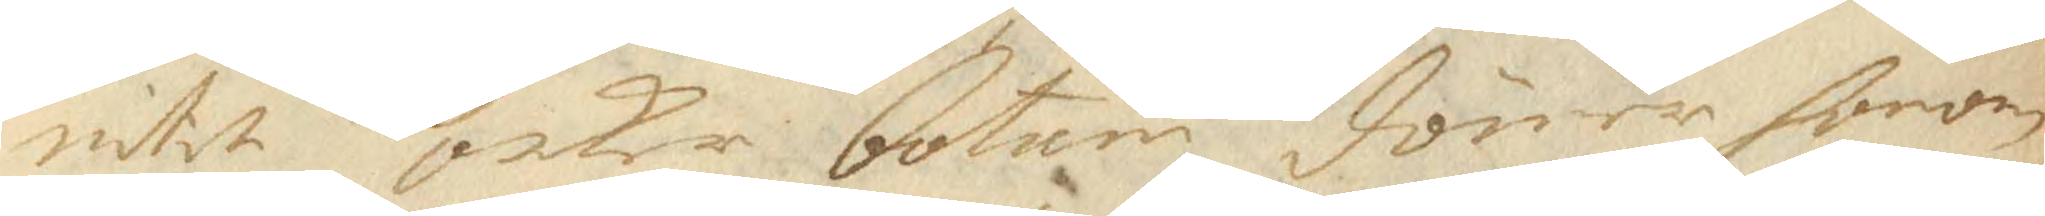intet orkar botum dömer honom
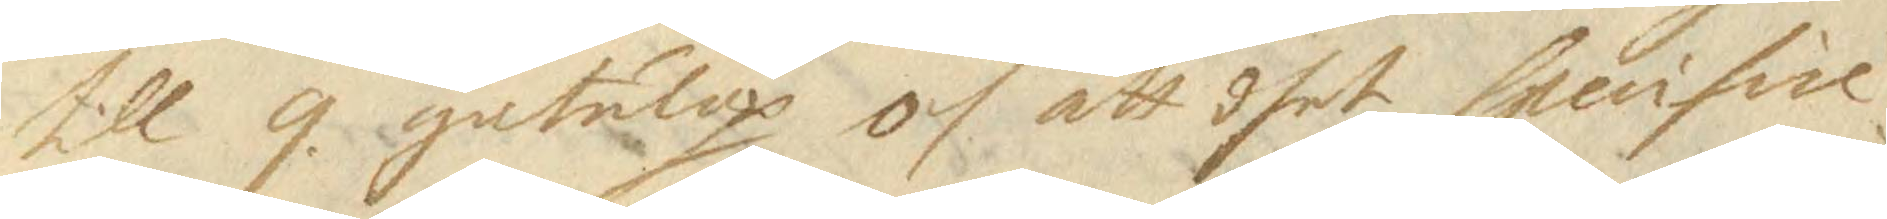till 9 gatulop och att dhet specifice
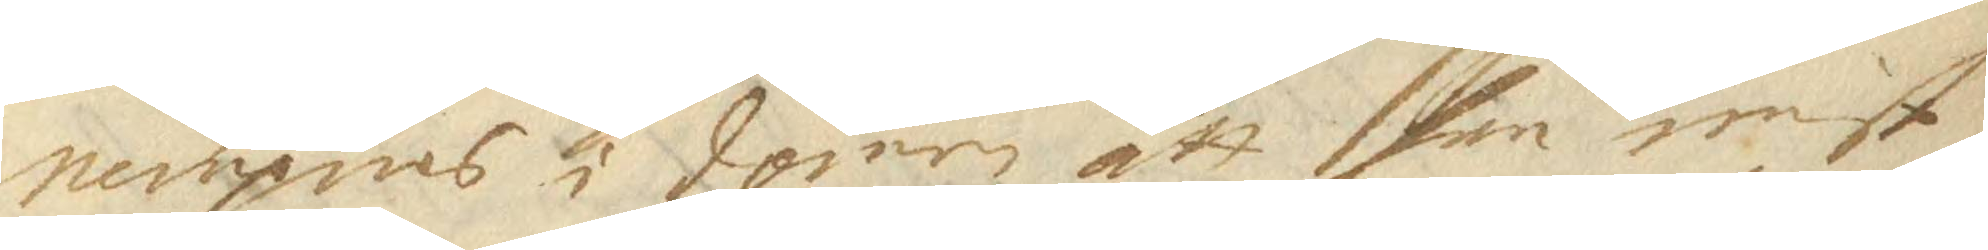nempnas i domen att han minst
